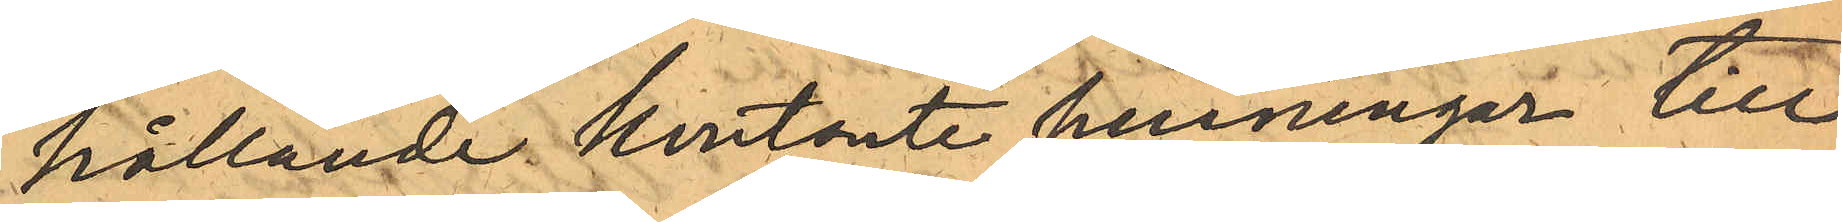hållande kontante penningar till
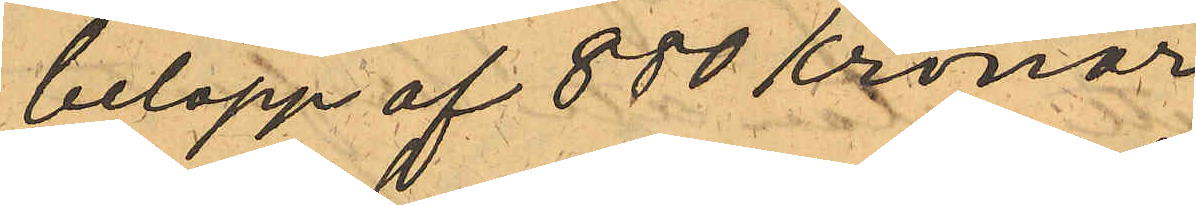belopp af 880 Kronor
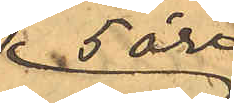5 öre
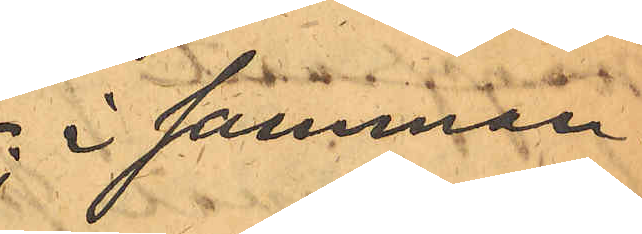i samman¬
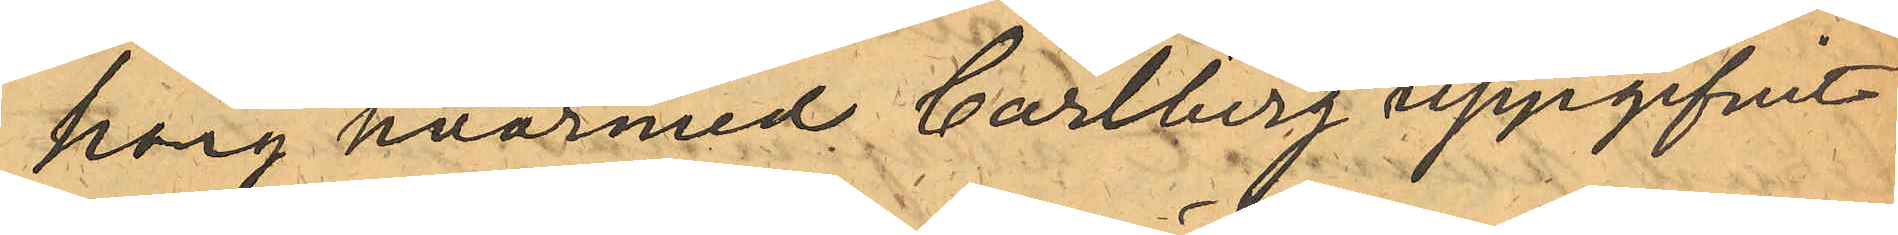hang hvarmed Carlberg uppgifvit:
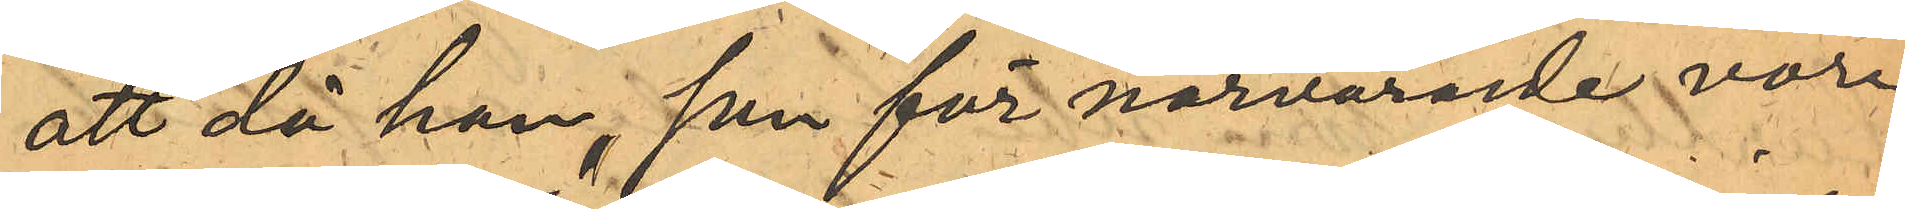att då han, som för närvarande vore
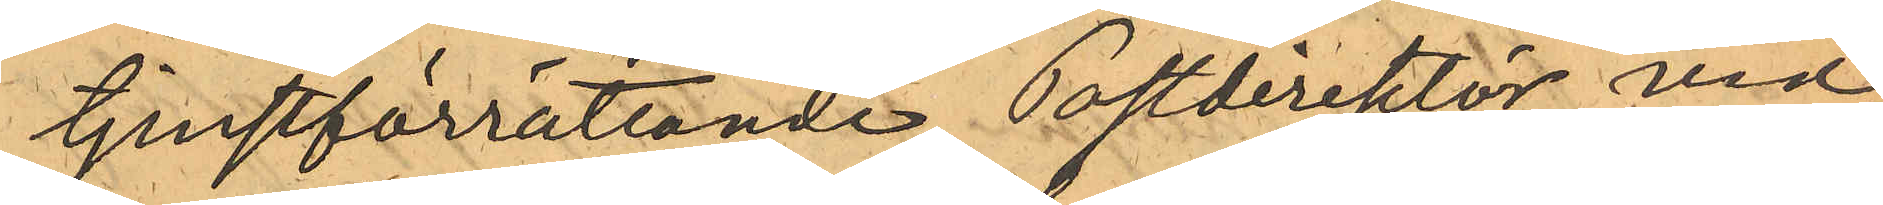tjenstförrättande Postdirektör vid
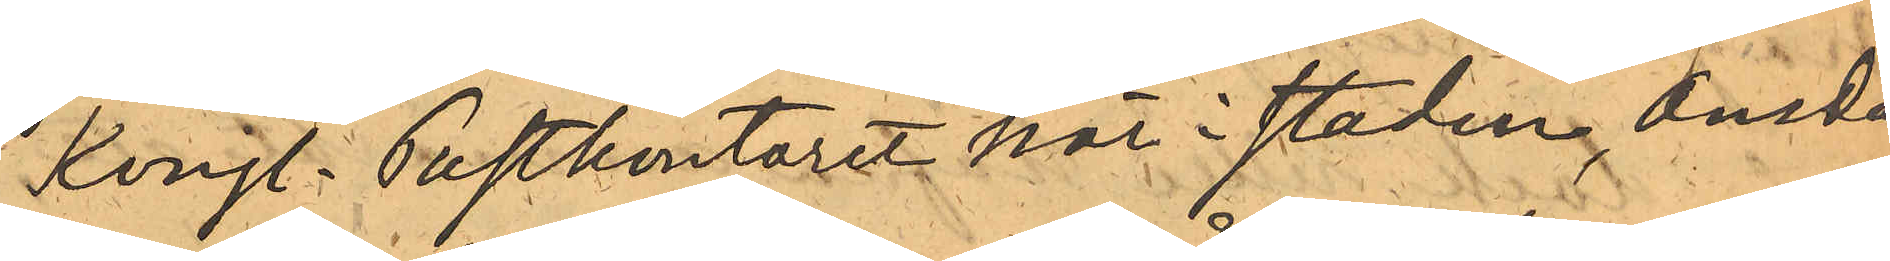Kongl. Postkontoret här i staden, Onsda¬
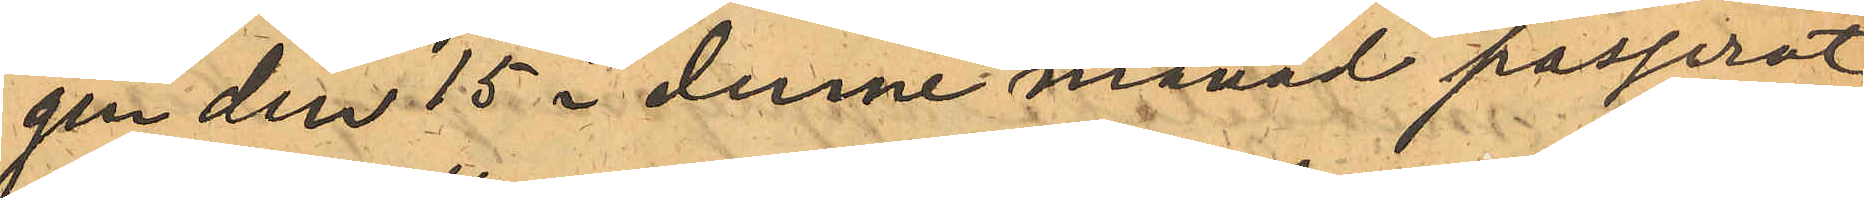gen den 15 i denne månad passerat
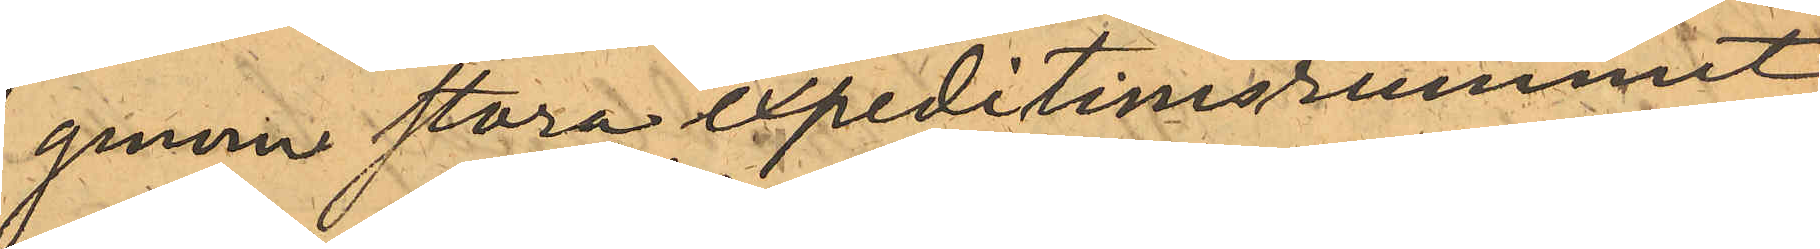genom stora expeditionsrummet
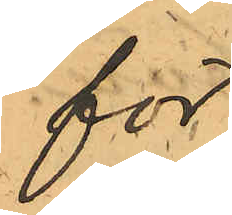för
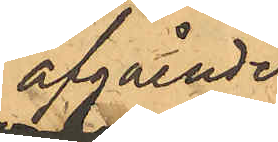afgående
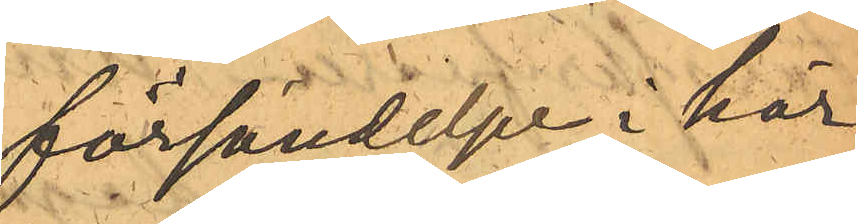försändelser i här¬
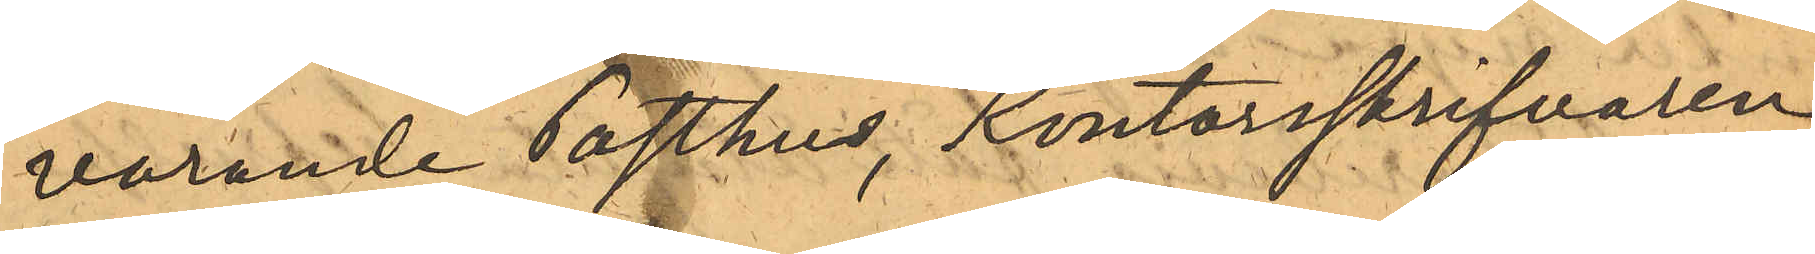varande Posthus, Kontorsskrifvaren
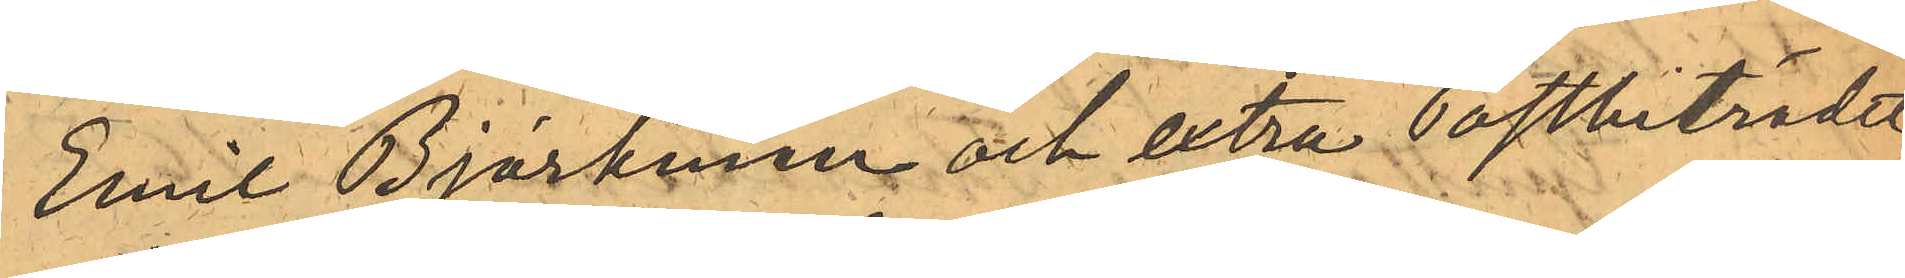Emil Björkman och extra Postbiträdet
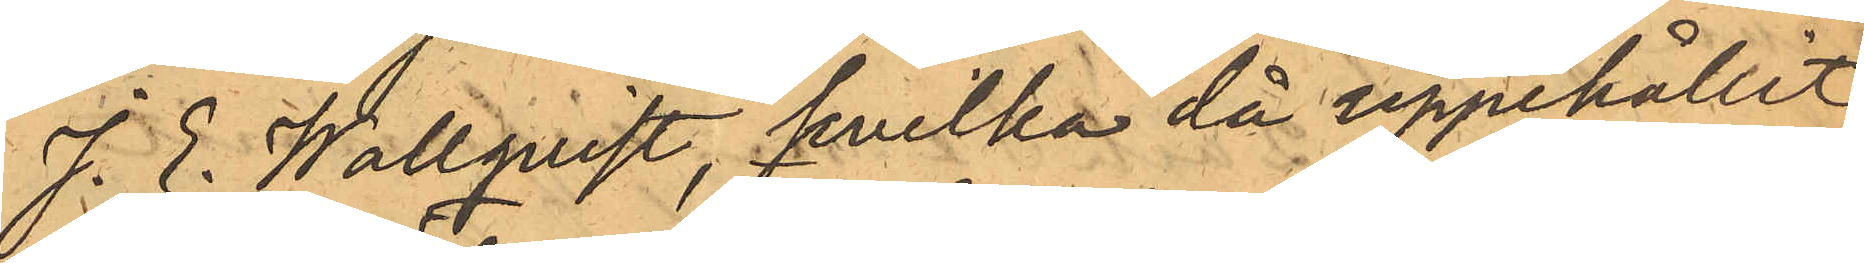J. E. Wallquist, hvilka då uppehållit
